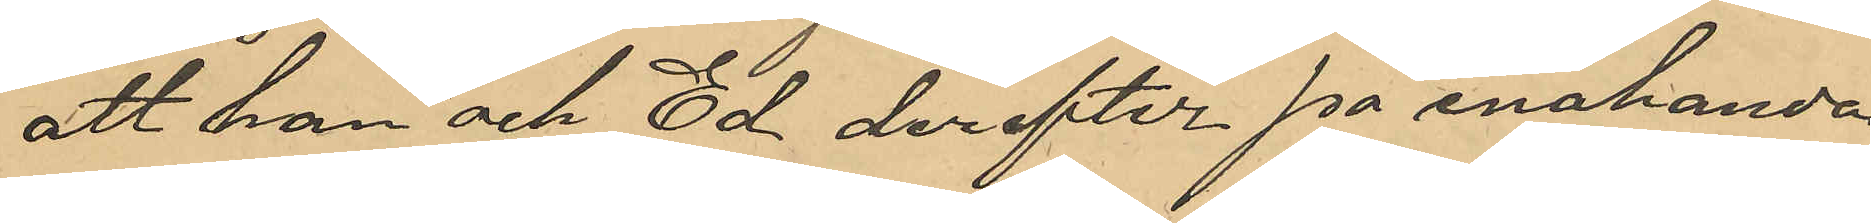att han och Ed derefter på enahanda
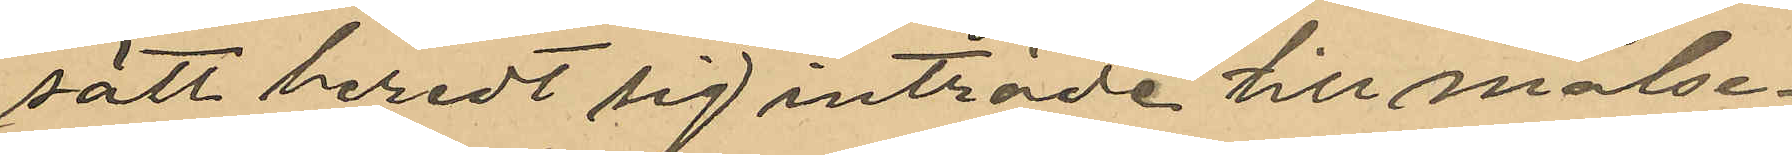sätt beredt sig inträde till målse¬
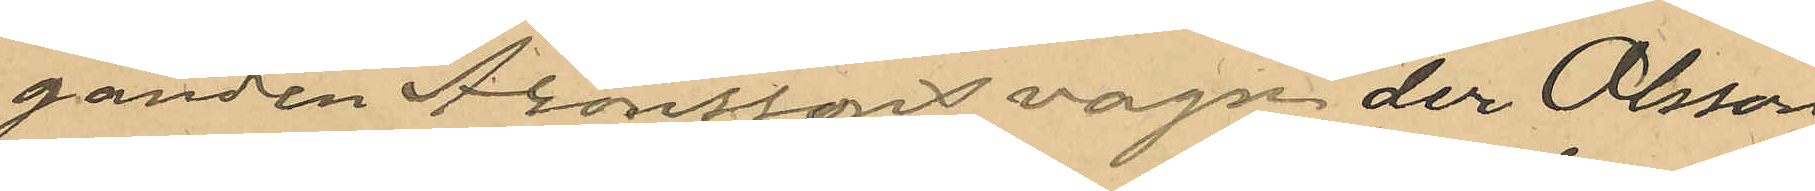ganden Aronssons vagn der Olsson
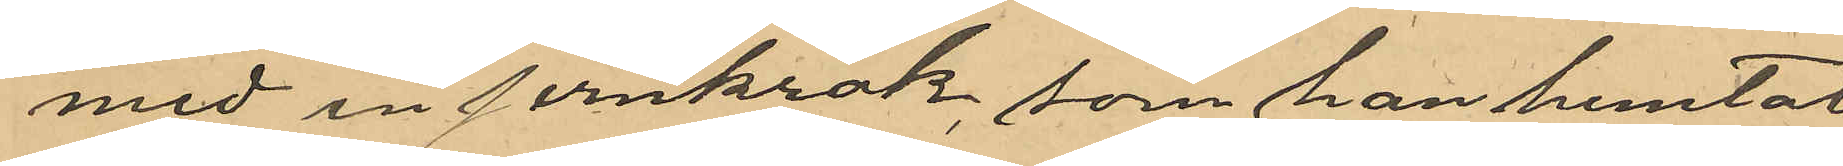med en jernkrok, som han hemtat
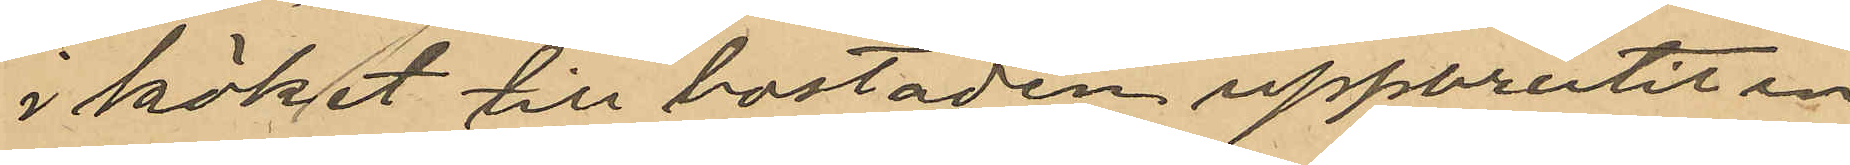i köket till bostaden, uppbrutit en
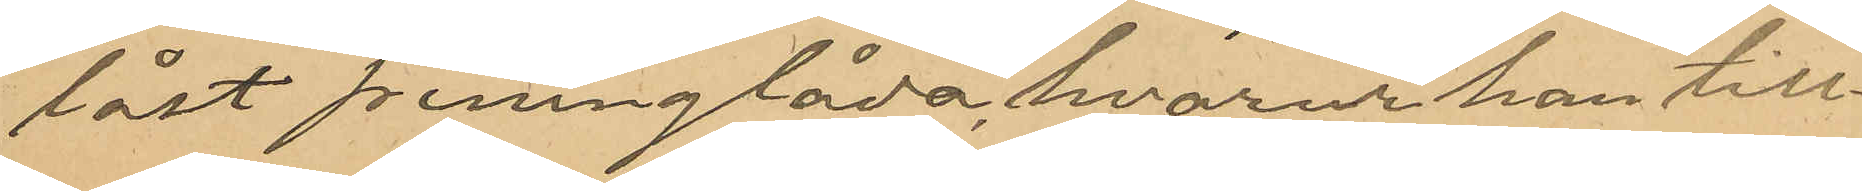låst penninglåda, hvarur han till¬
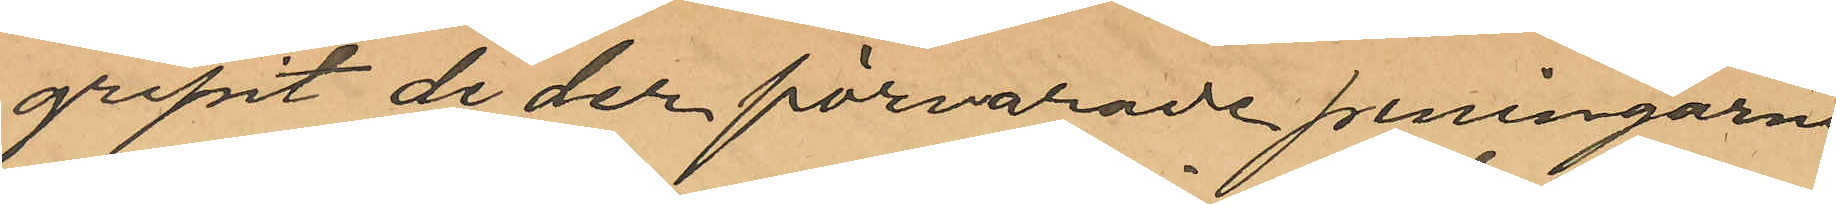gripit de der förvarade penningarne
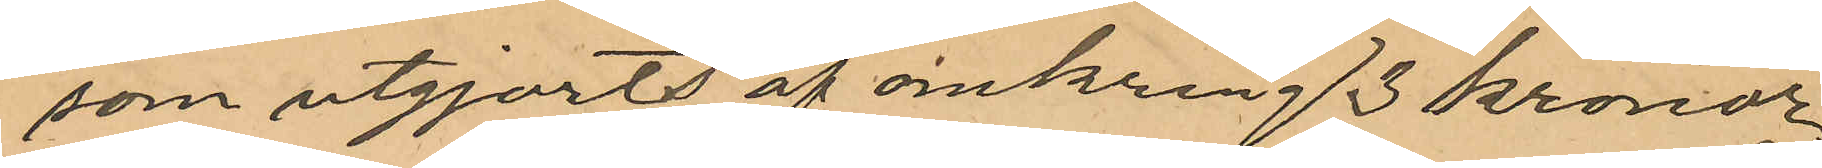som utgjorts af omkring 3 kronor
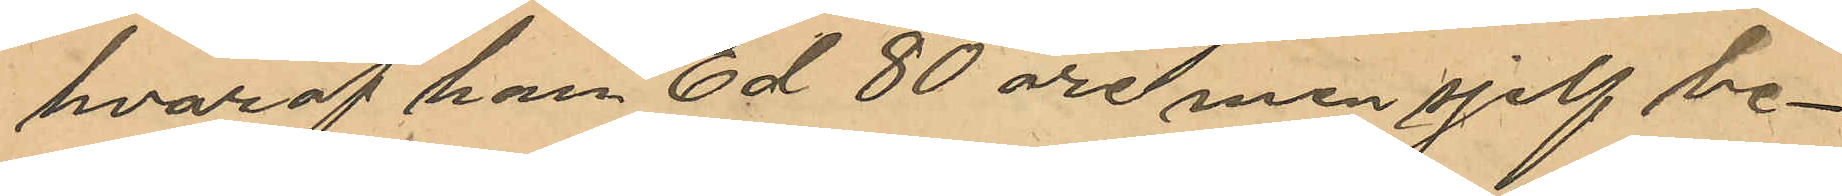hvaraf han Ed 80 öre men sjelf be¬
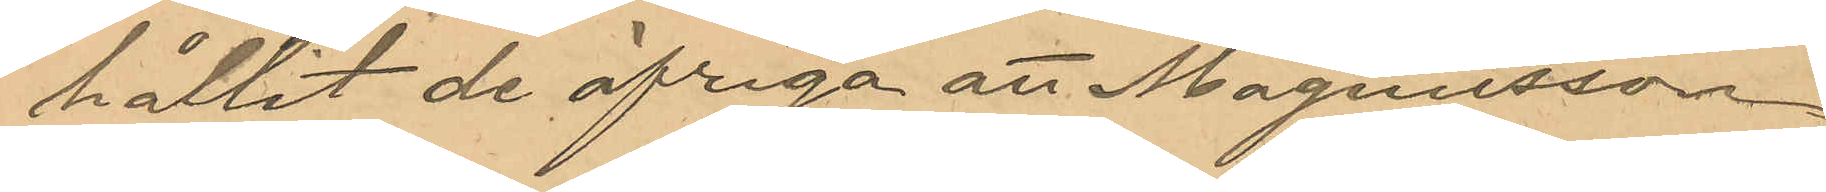hållit de öfriga att Magnusson
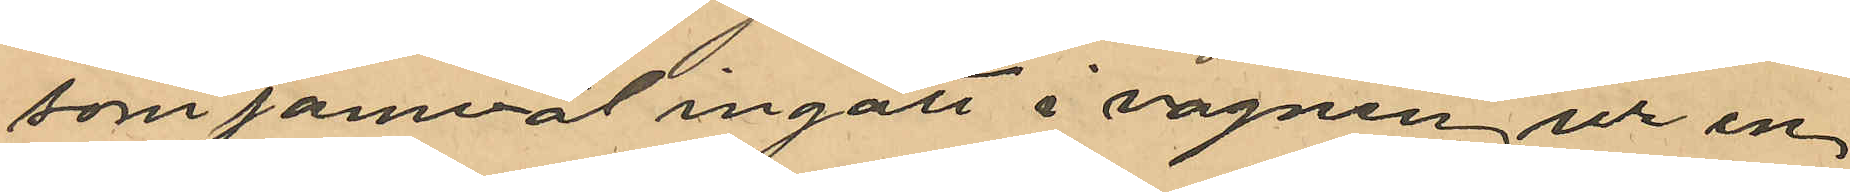som jämväl ingått i vagnen, ur en
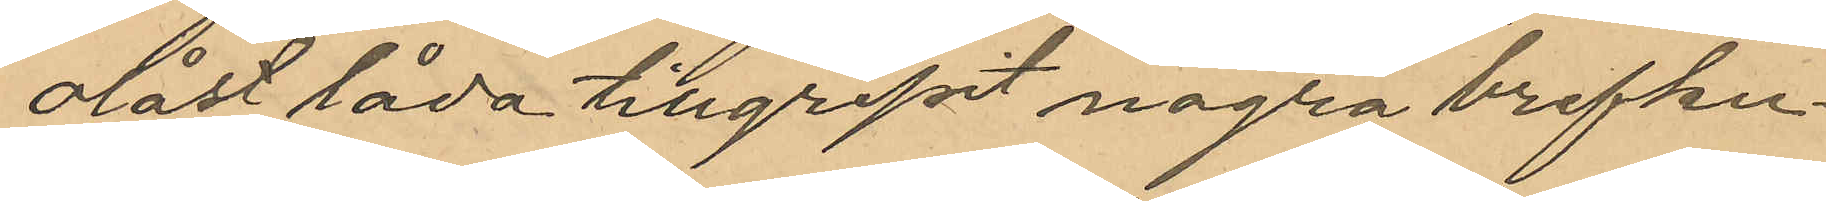olåst låda tillgripit några brefku¬
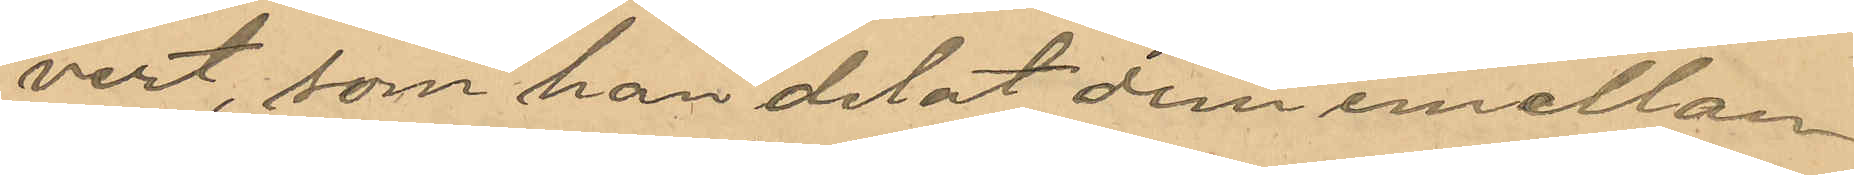vert, som han delat dem emellan
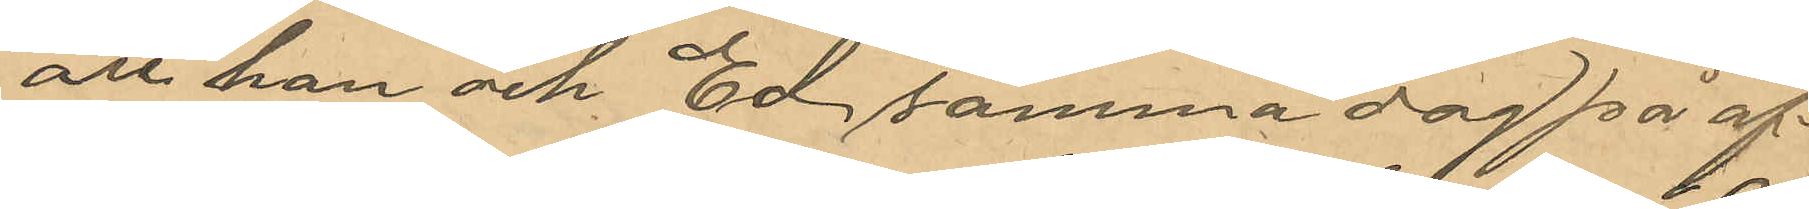att han och Ed samma dag på af¬
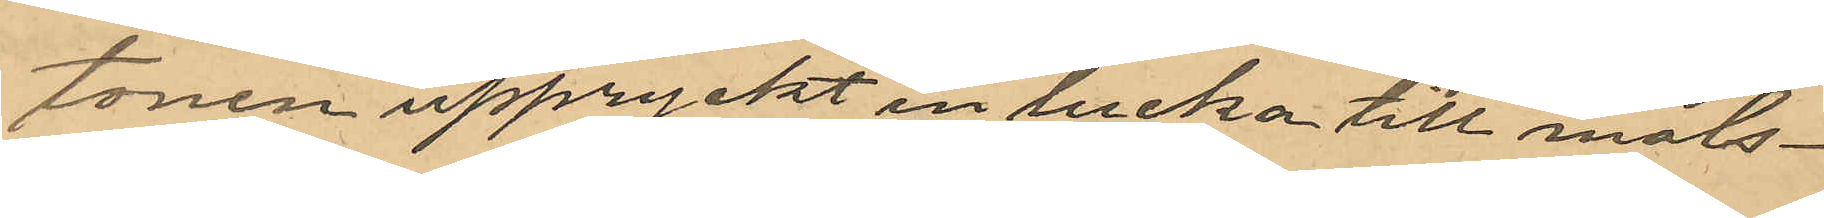tonen uppryckt en lucka till måls¬
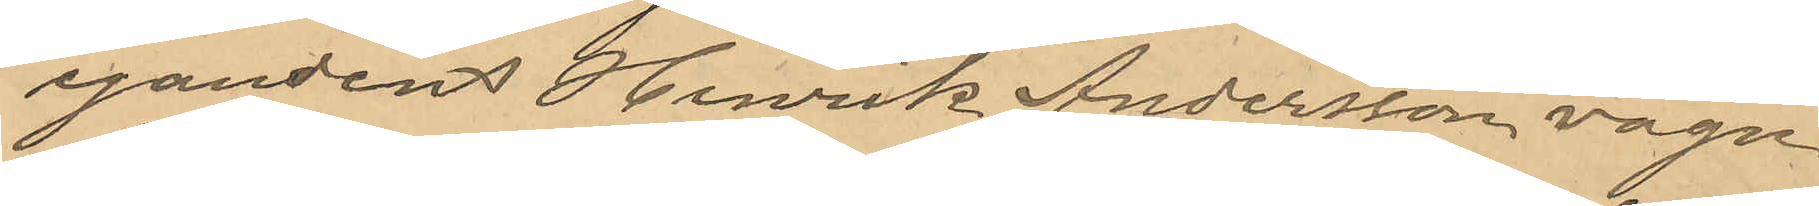egandens Henrik Andersson vagn
